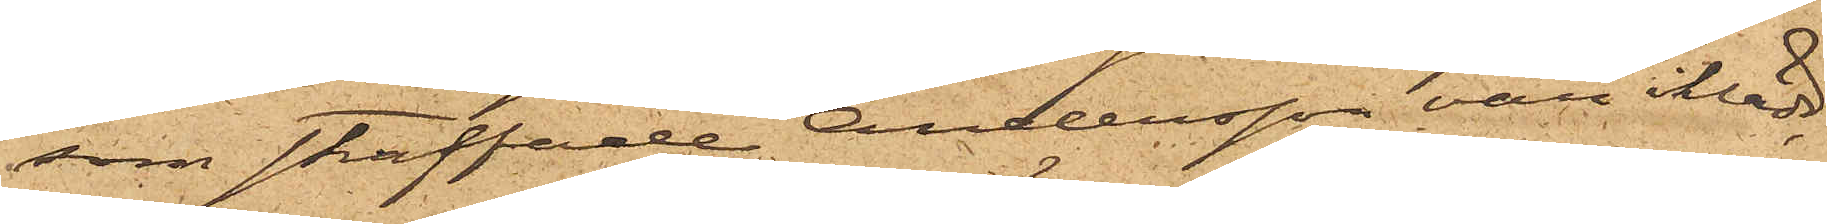som straffade Andersson var iklädd,
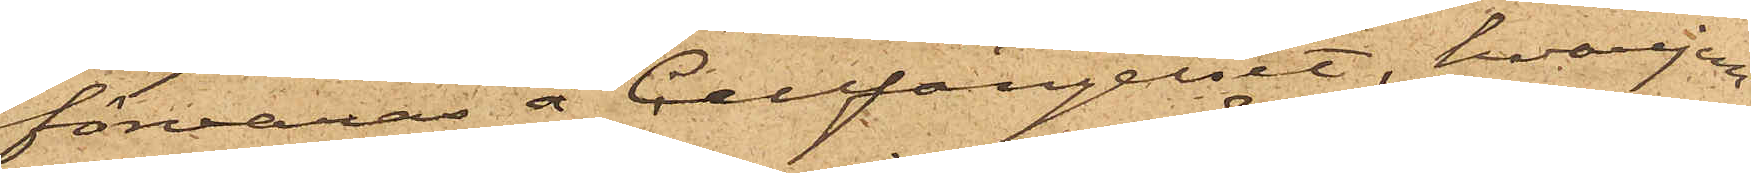förvaras å Cellfängelset, hvarjem¬
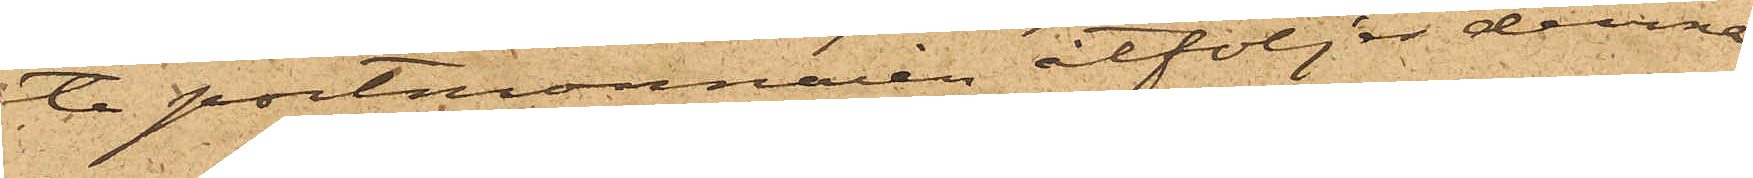te portmonnaien åtföljer denna
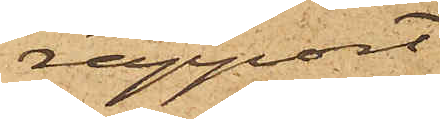rapport
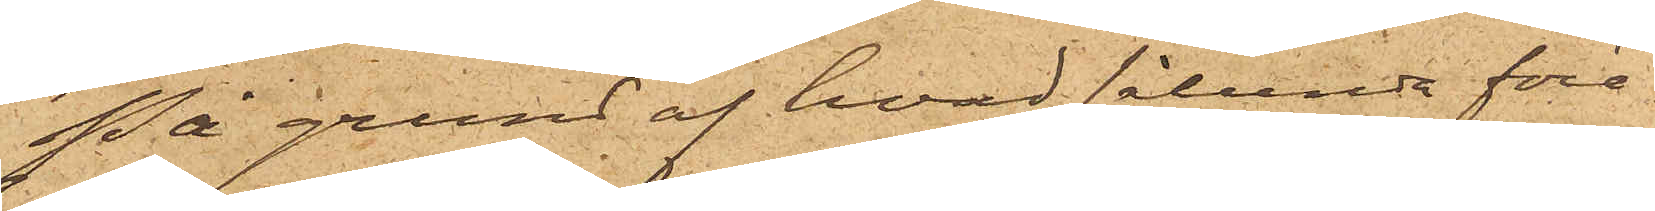På grund af hvad sålunda före¬
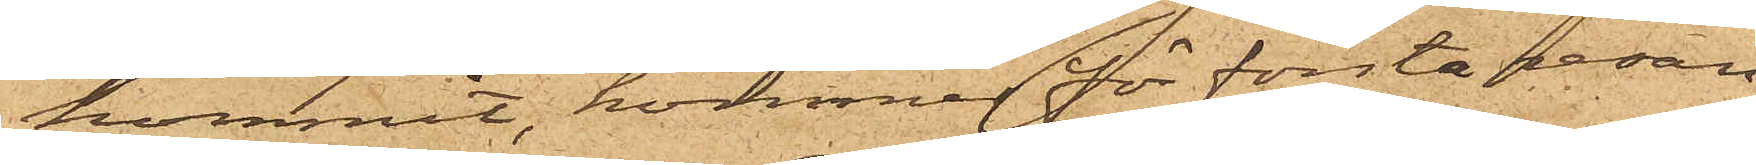kommit, kommer för första resan
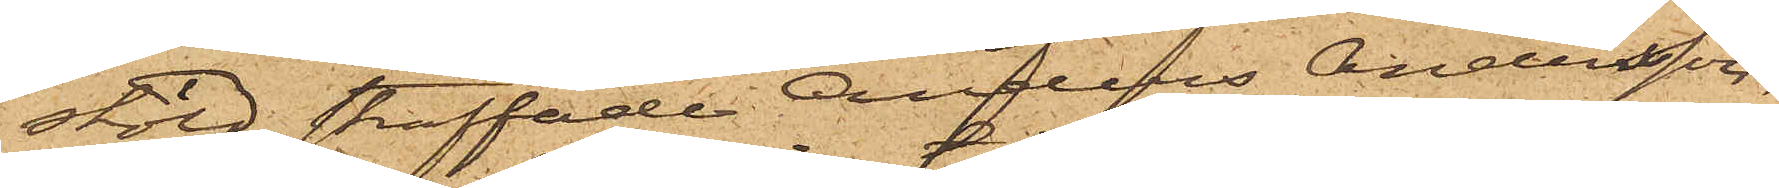stöld straffade Anders Andersson,
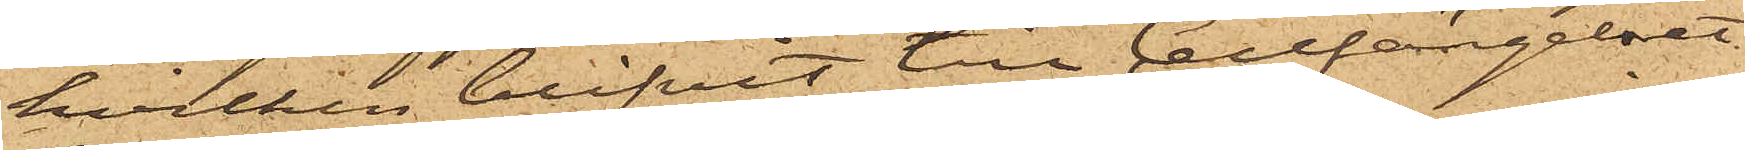hvilken blifvit till Cellfängelset
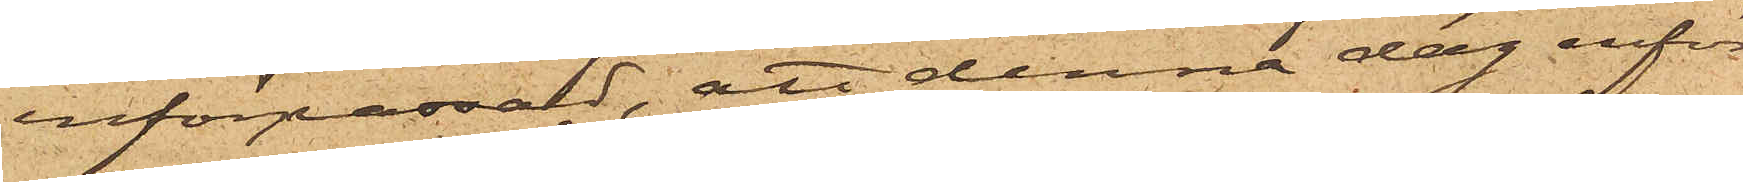införpassad, att denna dag inför
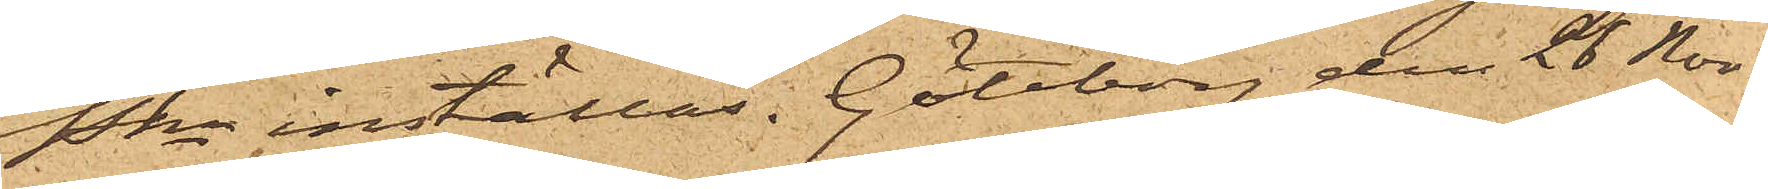Pkn inställas. Göteborg den 28 Nov.
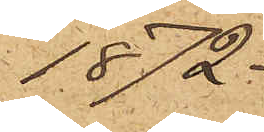1872.
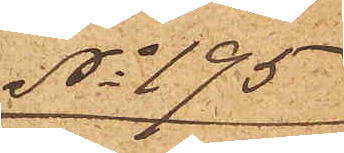No 195
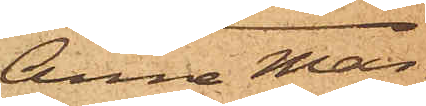Anna Mar¬
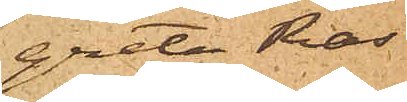greta Ras¬
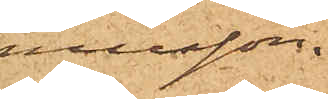musson.
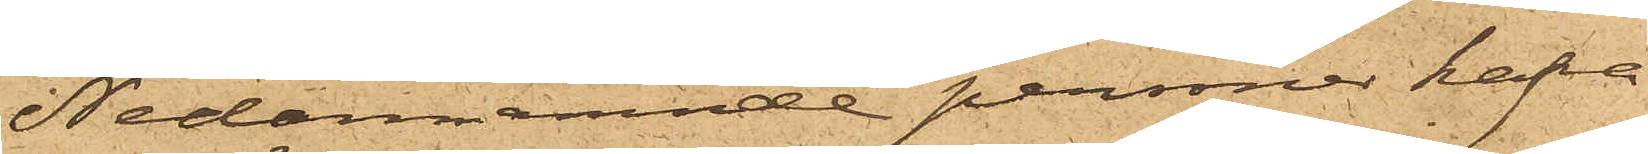Nedannämnde personer hafva
